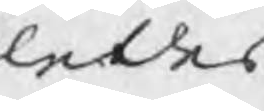ledes
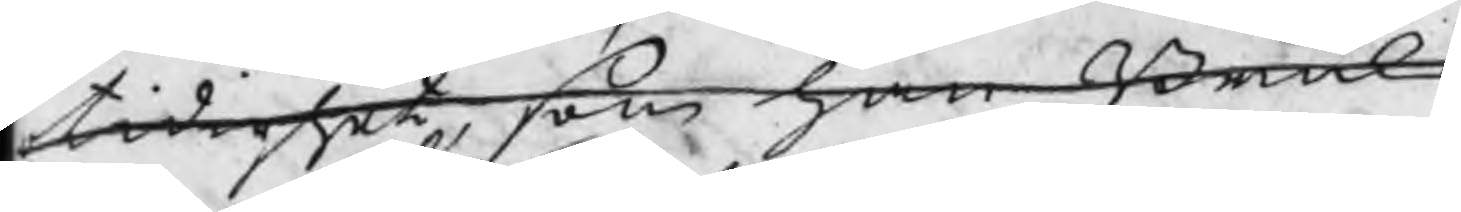otidighet, som han Bruks
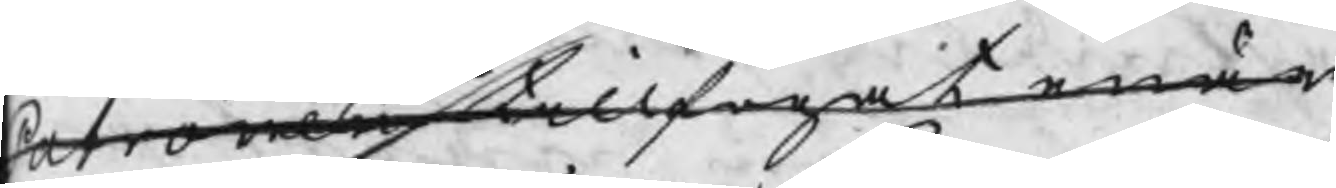Patronen tillfogat enär
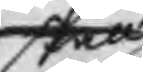skall
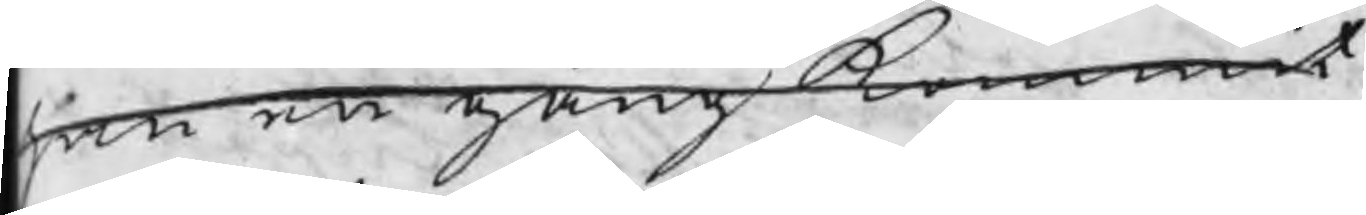han en gång kommit
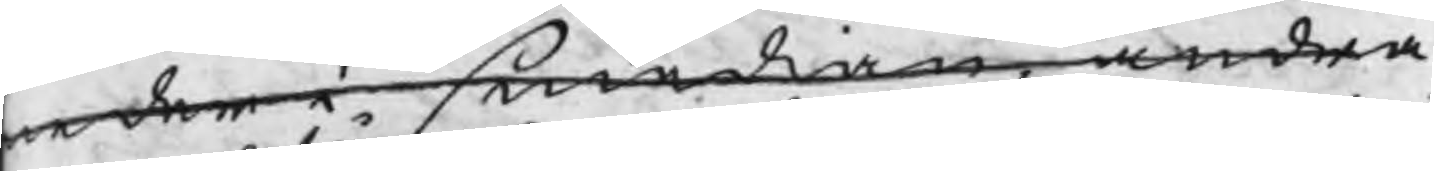neder i smedian, andra
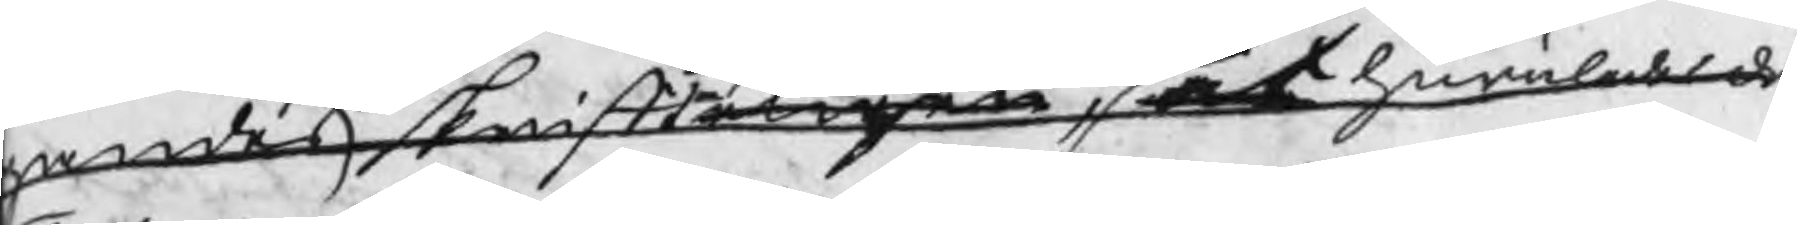gandes skrifteligen, at huruledes då
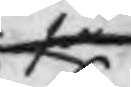så
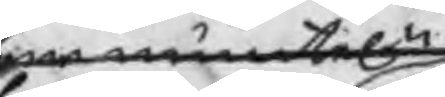som muntel.n
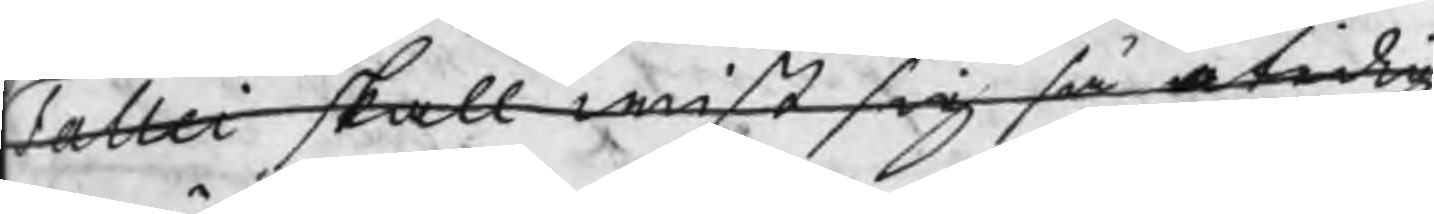Fallei skall wist sig så otidig
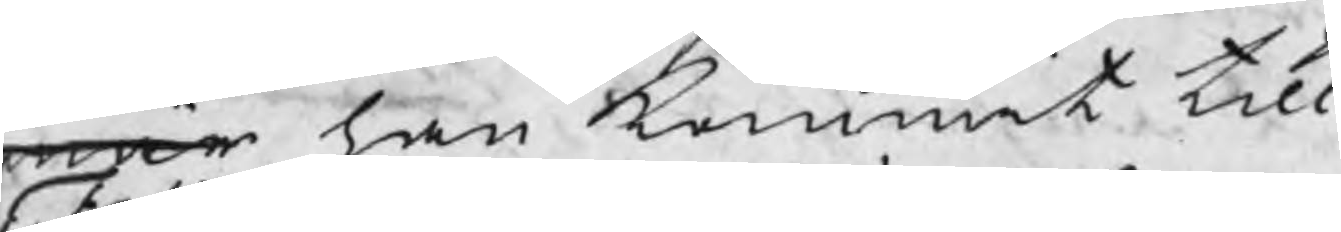enär han kommit till
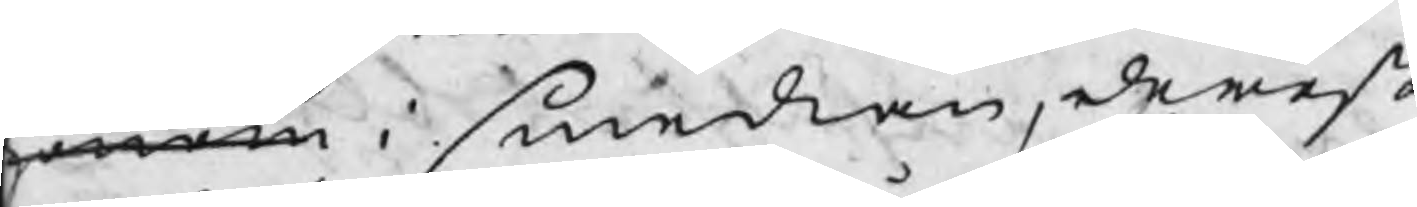honom i smedian, derest
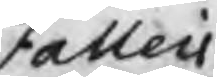Fallei
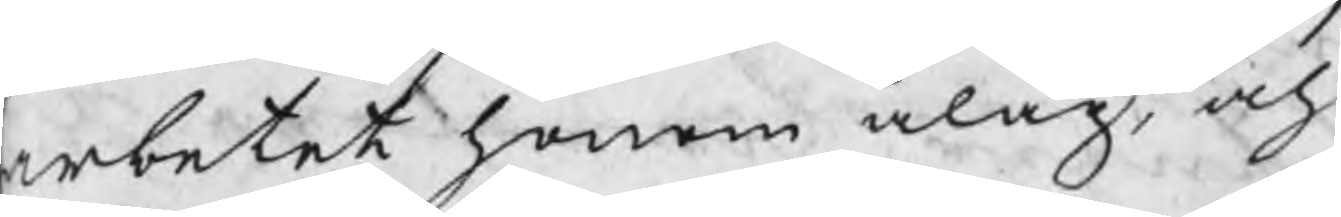arbetet honom ålåg, och
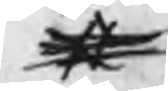#
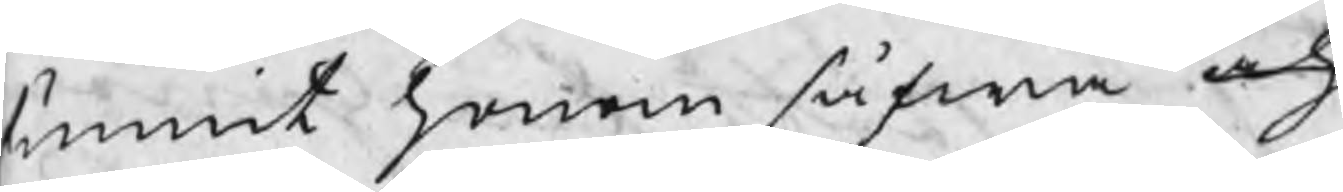funnit honom såfwa och
